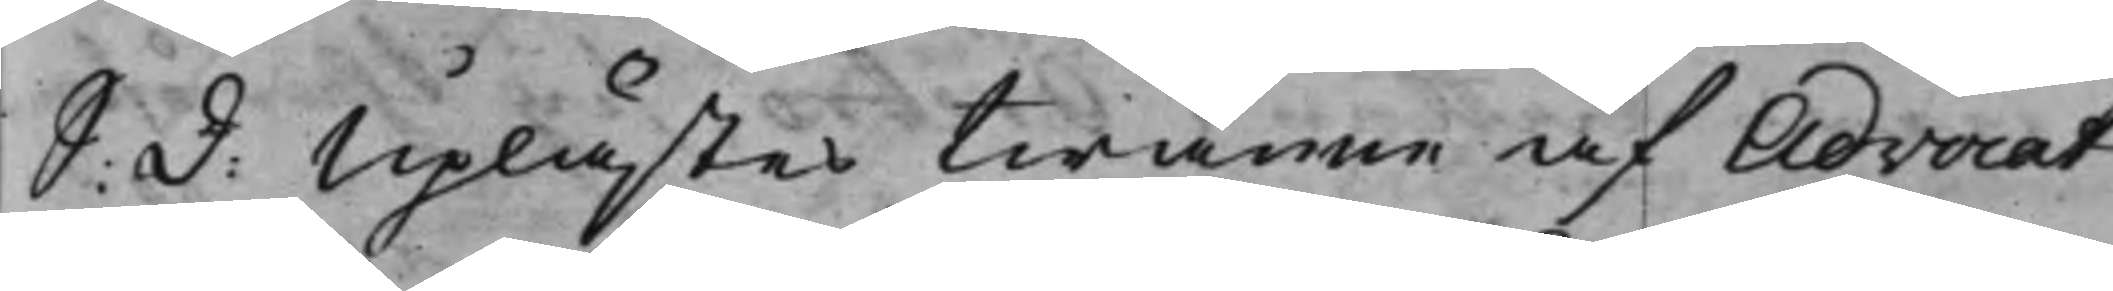S: D: Uplästes twänne af Advocat¬
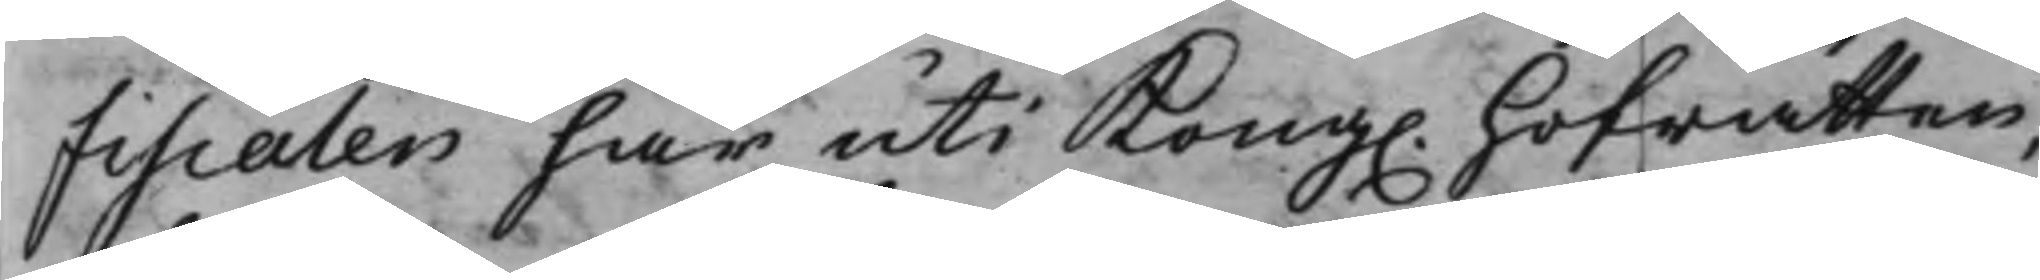Fiscalen här uti Kong. Hofrätten,
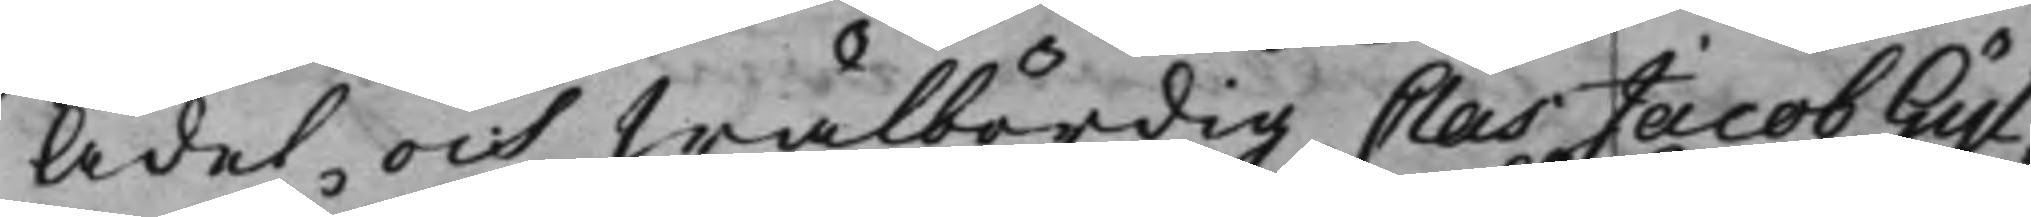Ädel och wälbördig Clas Jacob Gyl¬
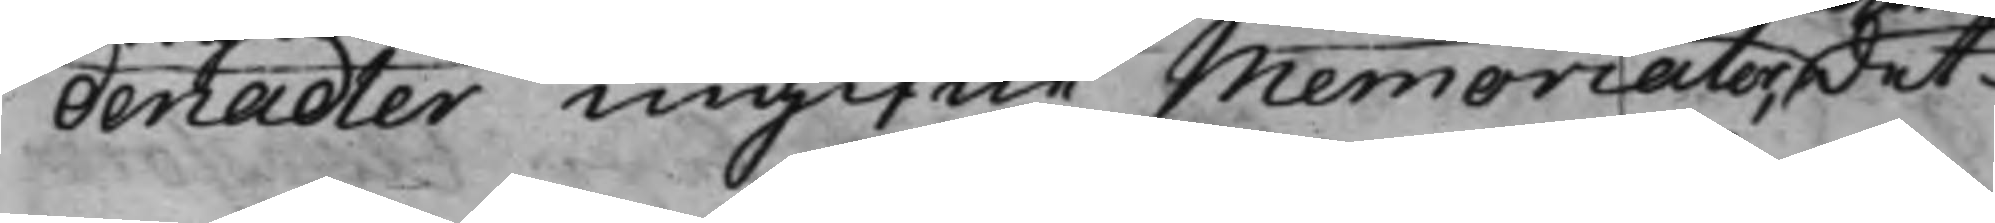denadler ingifne Memorialer, det
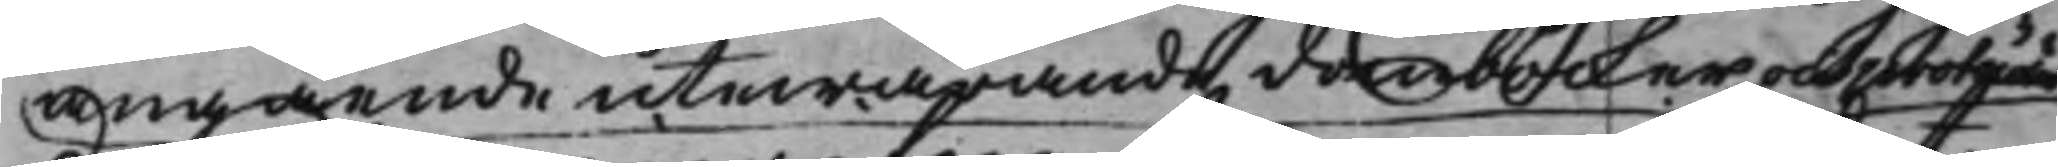angående utewarande domböcker och protocoler
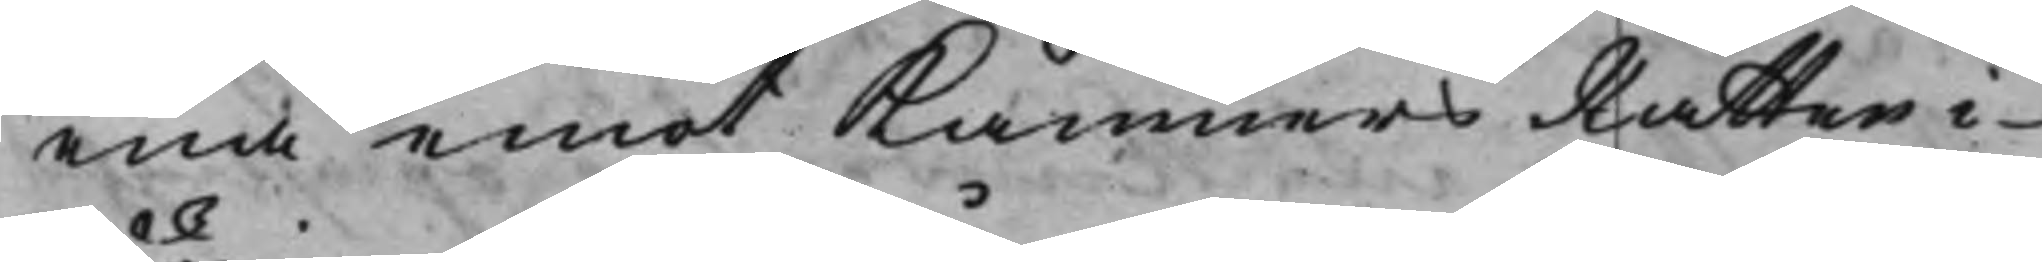ena emot KämnersRätten i
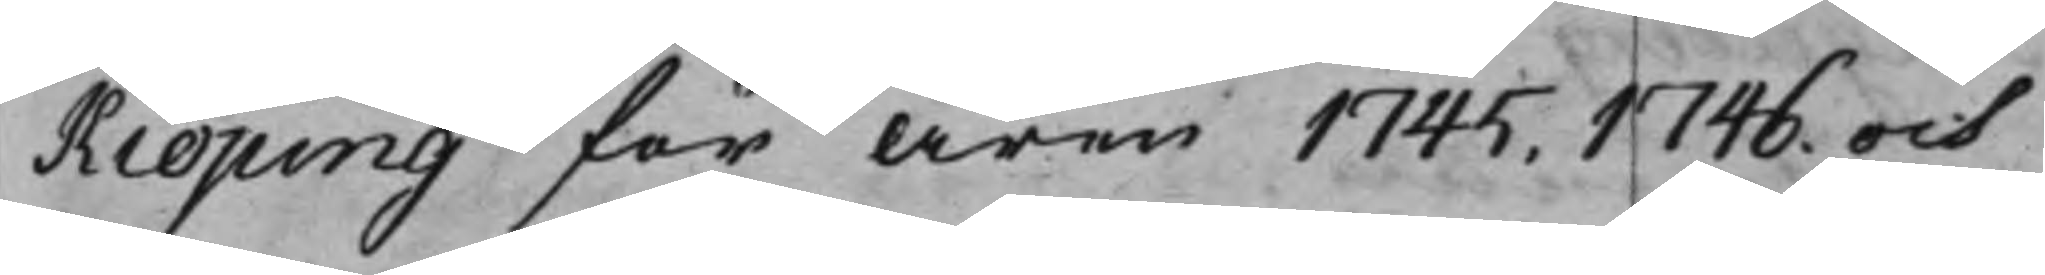Kiöping för åren 1745. 1746, och
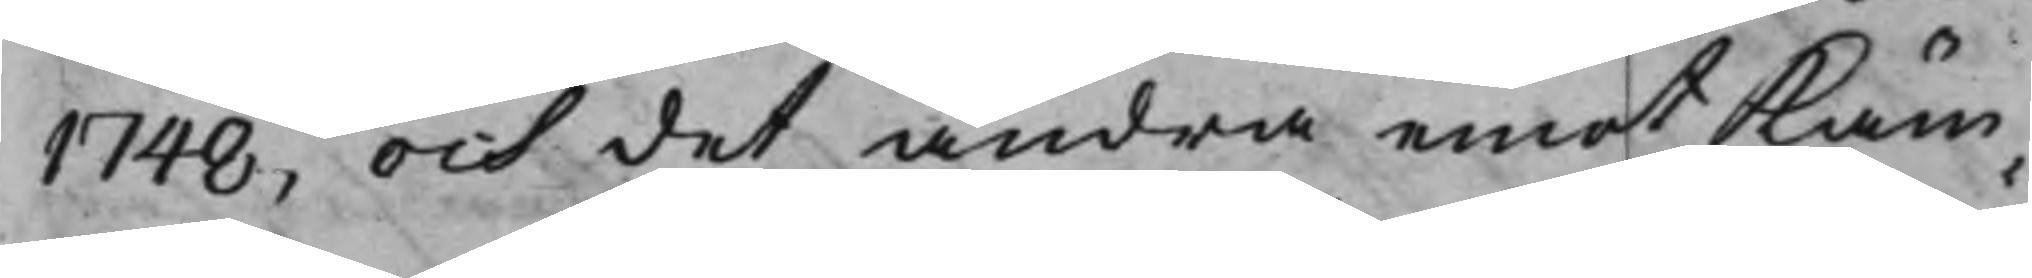1748, och det andra emot Käm¬
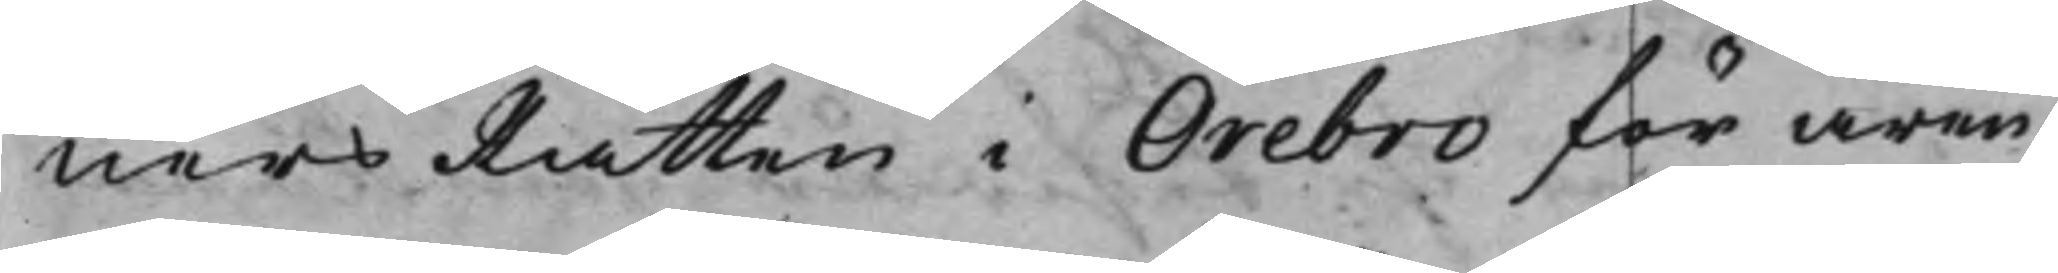närsRätten i Örebro för åren
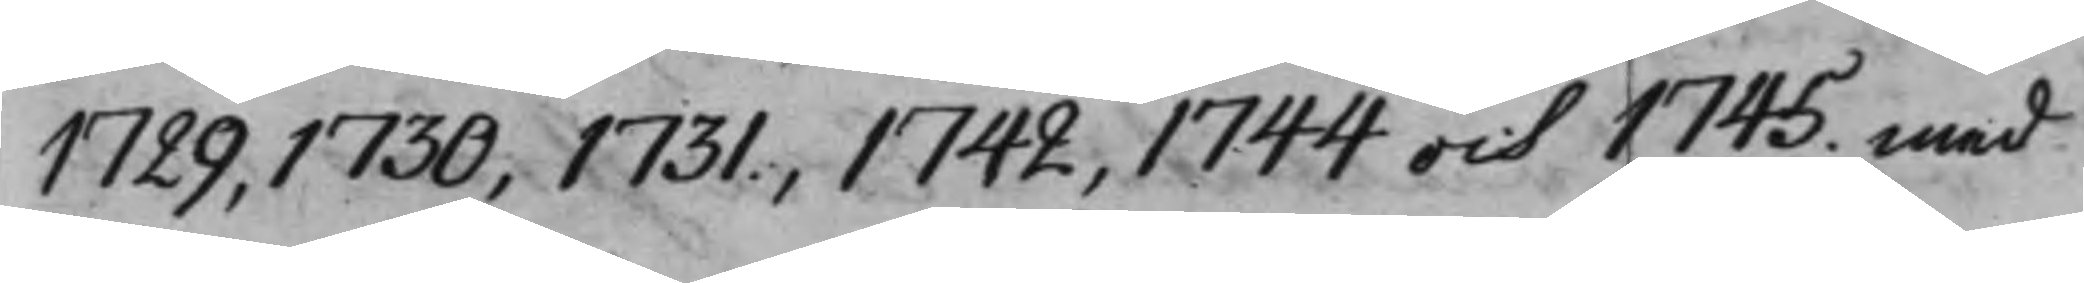1729, 1730, 1731, 1742, 1744 och 1745. med
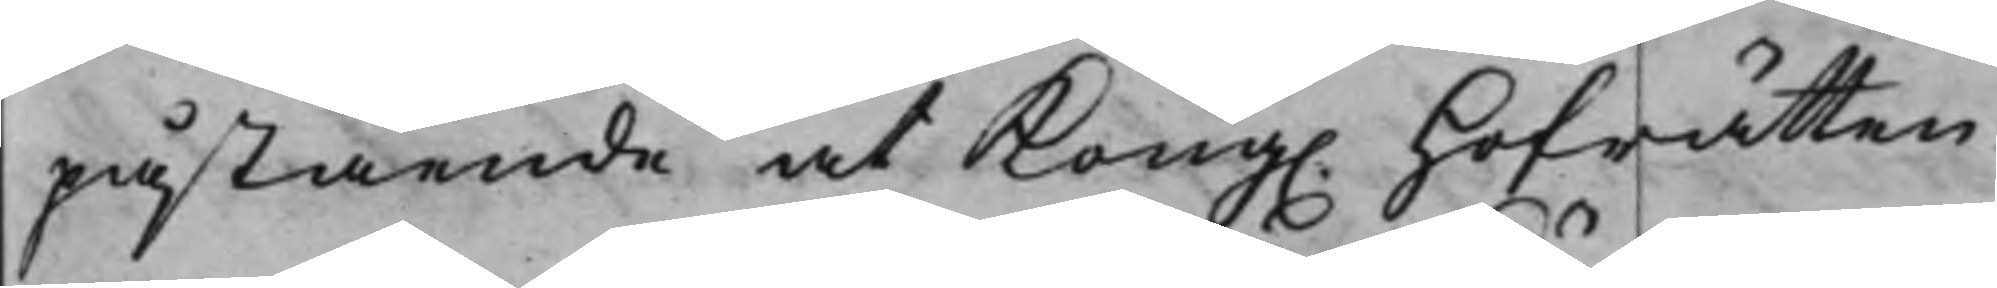påstående at Kong. Hofrätten
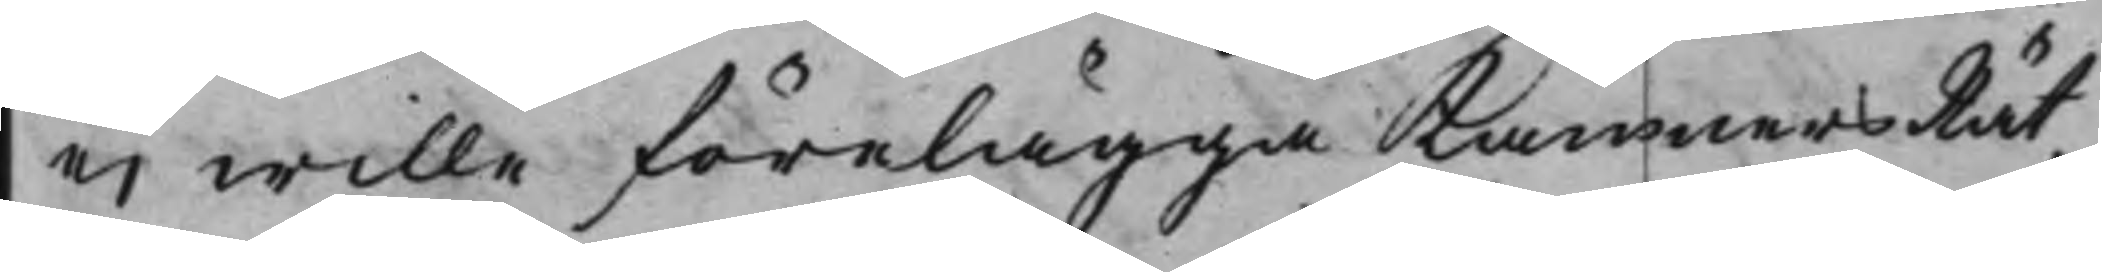ei wille förelägga KämnersRät¬
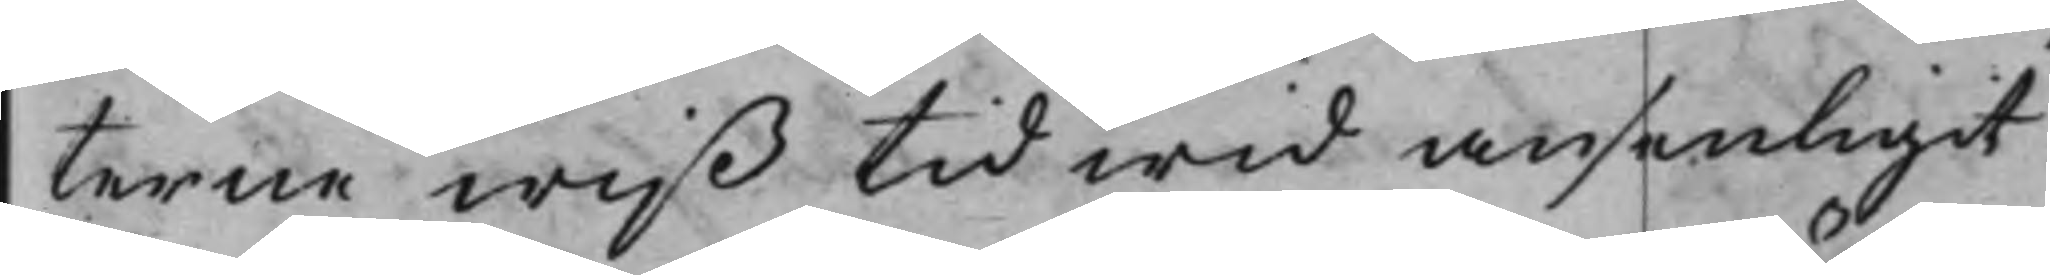terne wiß tid wid ansenligit
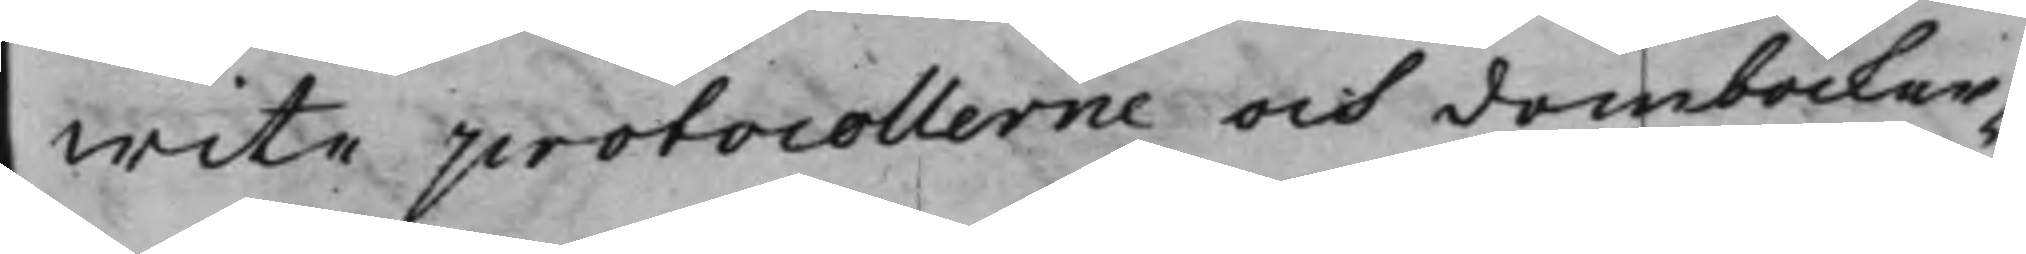wite protocollerne och domböcker¬
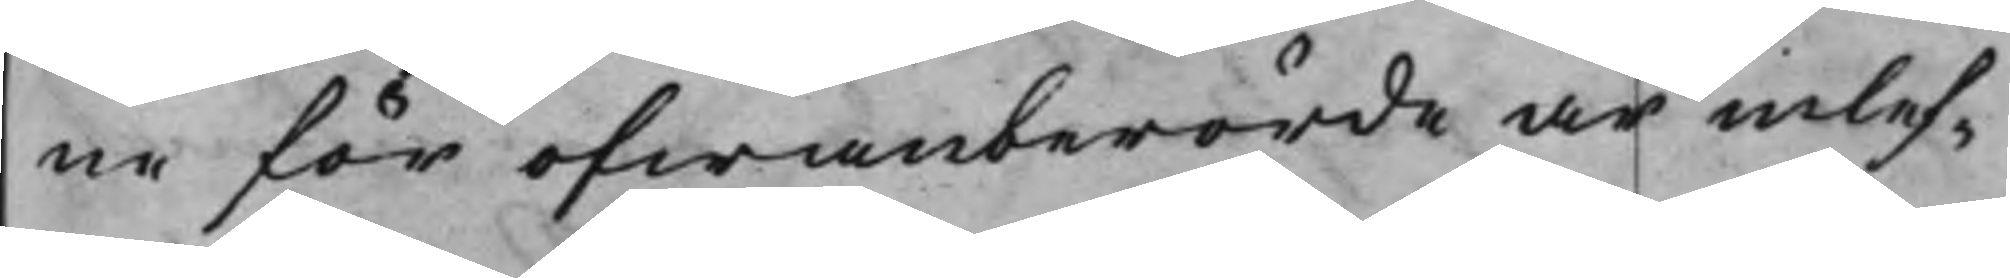ne för ofwanberörde är inlef¬
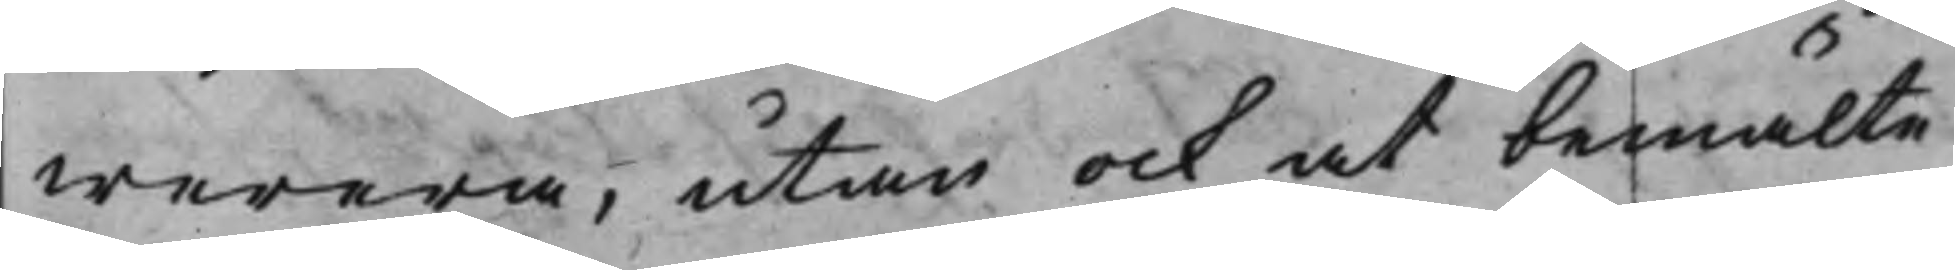werera, utan ock at bemälte
